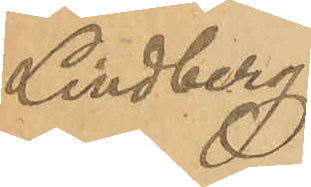Lindberg.
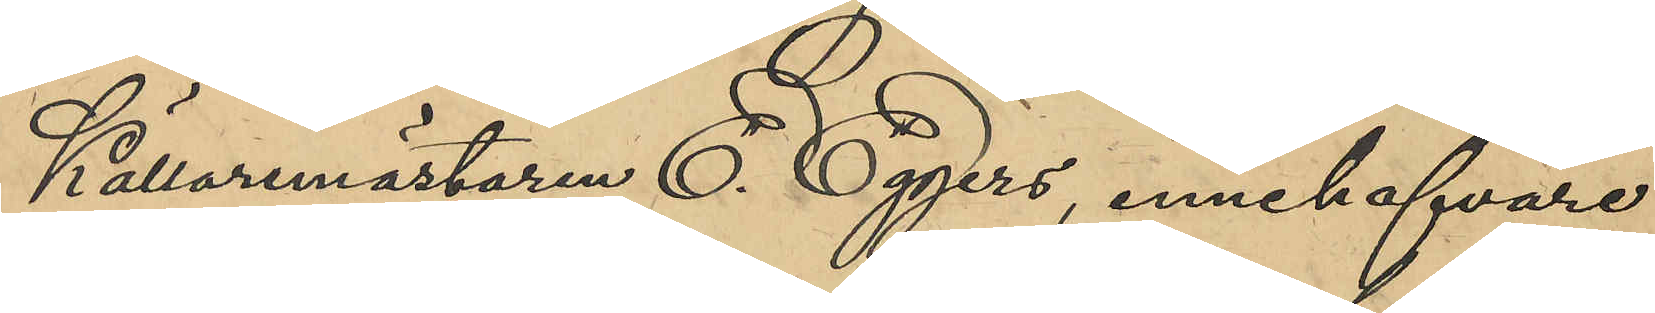Källarmästaren E. Eggers, innehafvare
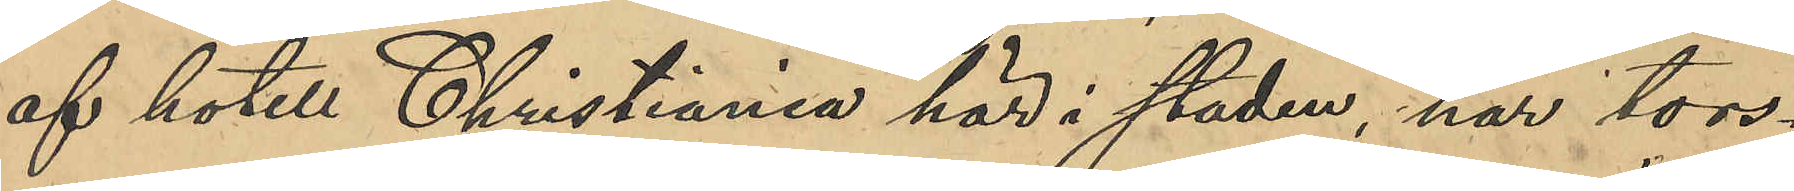af hotell Christiania här i staden, har tors¬
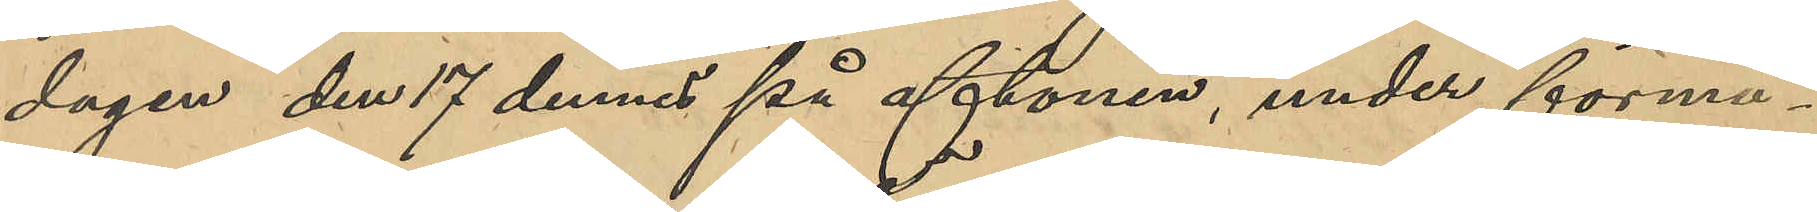dagen den 17 dennes på aftonen, under förmä¬
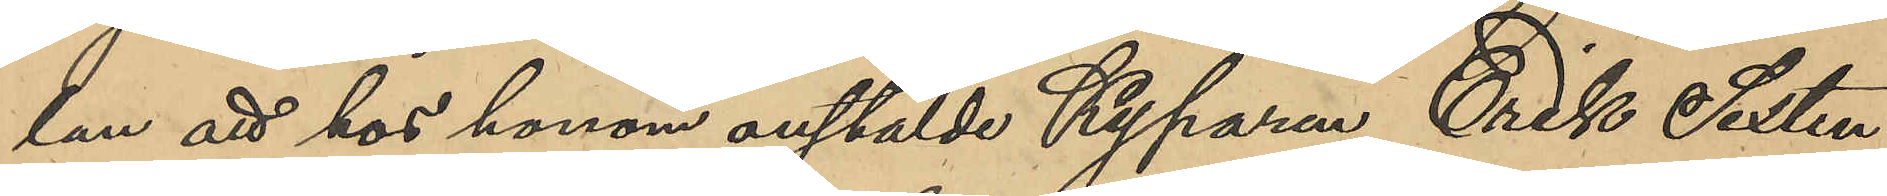lan att hos honom anstälde Kyparen Erik Sixten
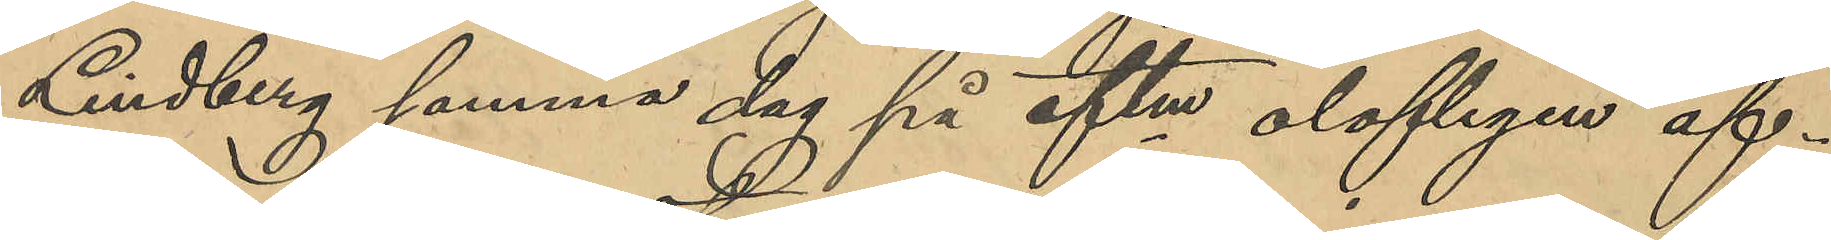Lindberg samma dag på eftm olofligen af¬
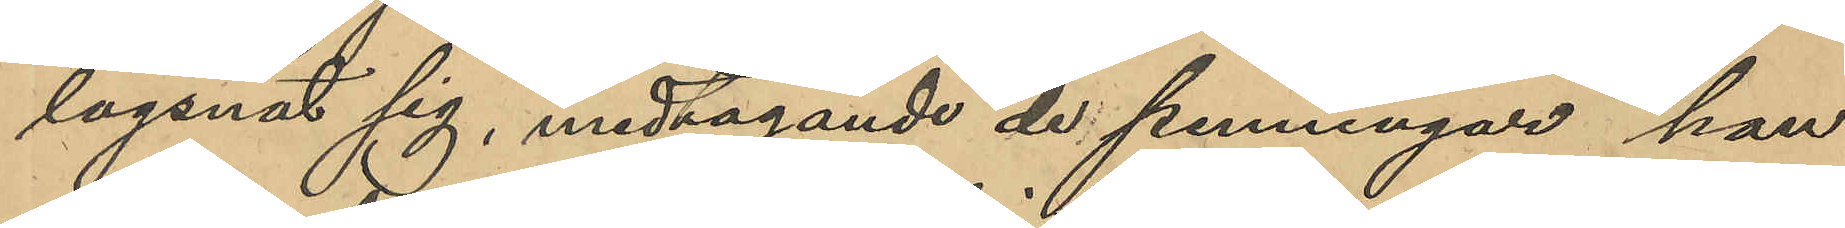lägsnat sig, medtagande de penningar han
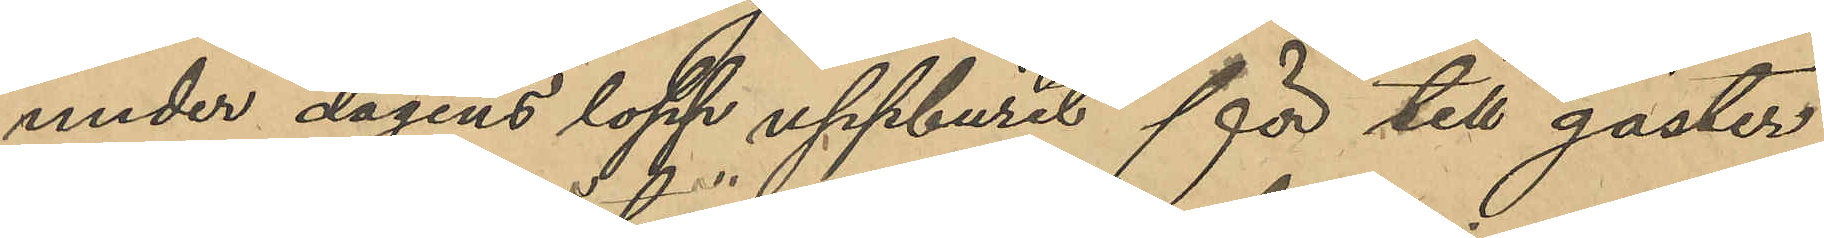under dagens lopp uppburit för till gäster
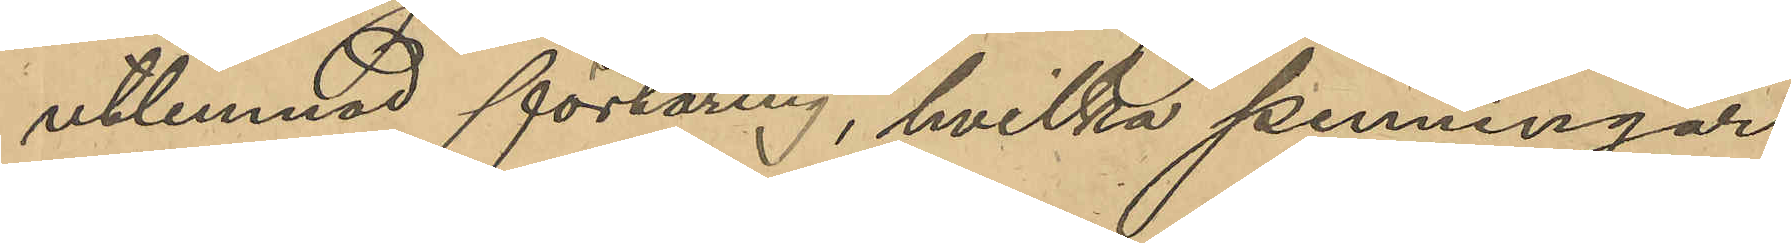utlemnad förtäring, hvilka penningar
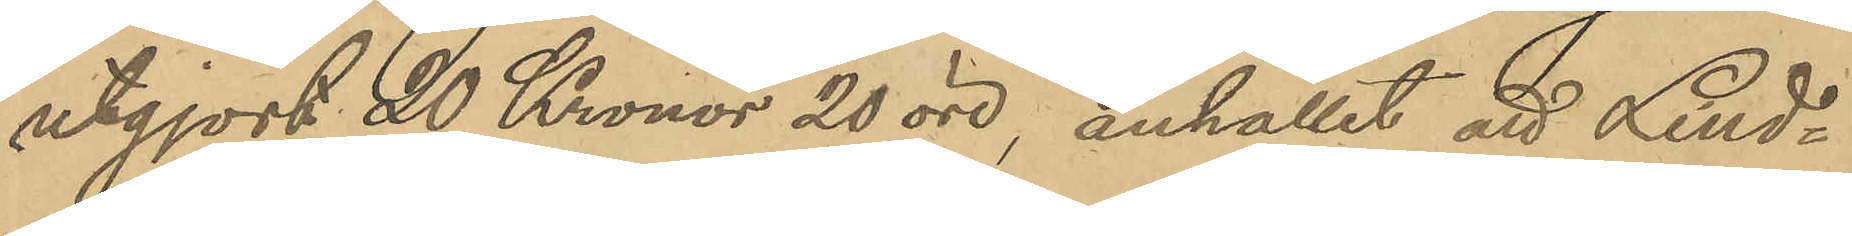utgjort 20 Kronor 20 öre, anhållit att Lind¬
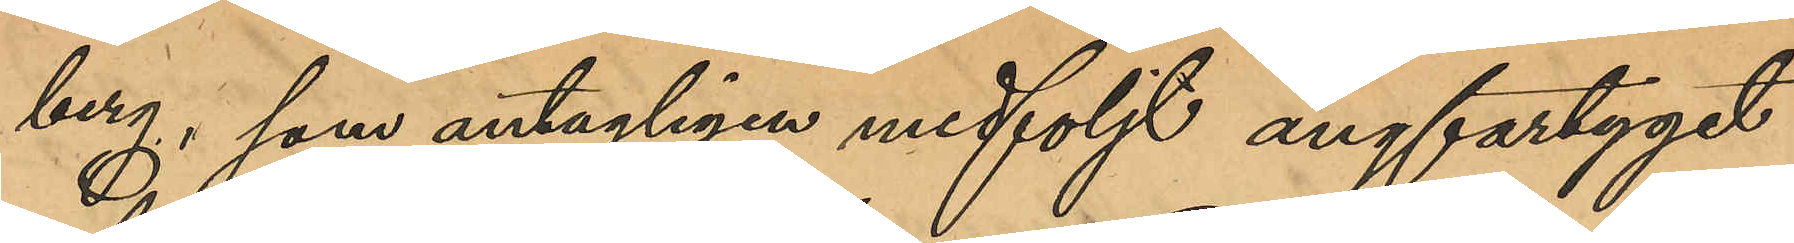berg, som antagligen medföljt ångfartyget
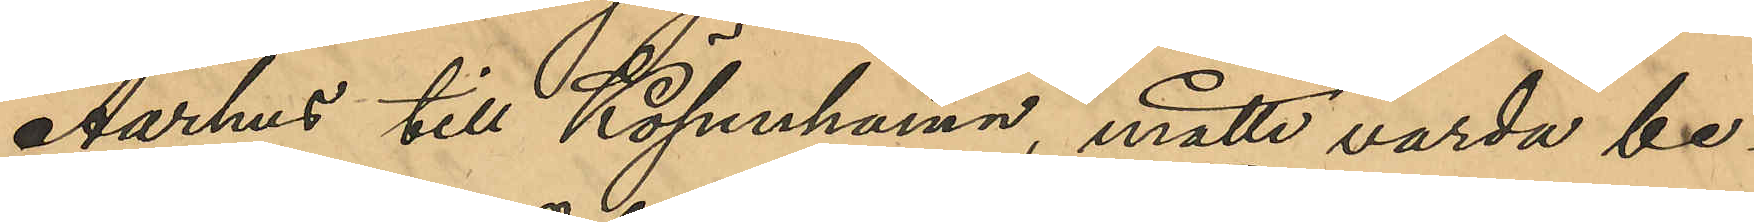Aarhus till Köpenhamn, måtte varda be¬
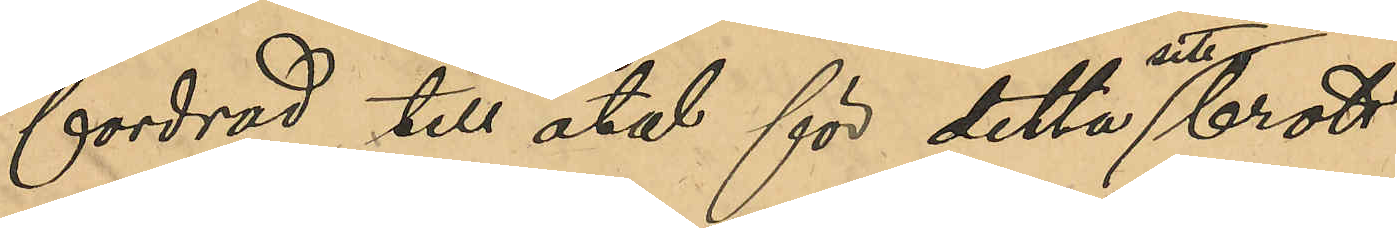fordrad till åtal för detta sitt brott.
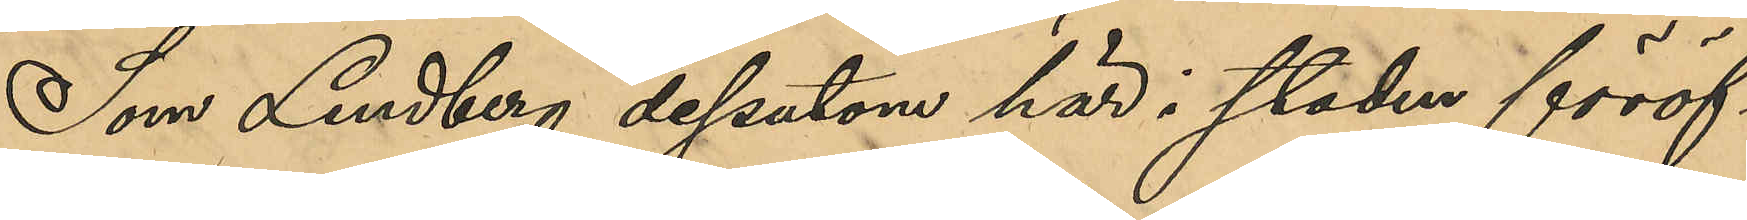Som Lindberg dessutom här i staden föröf¬
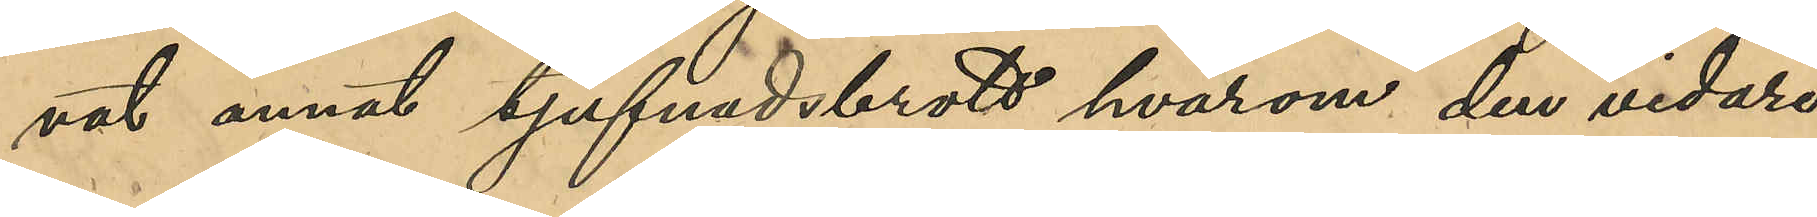vat annat tjufnadsbrott hvarom den vidare
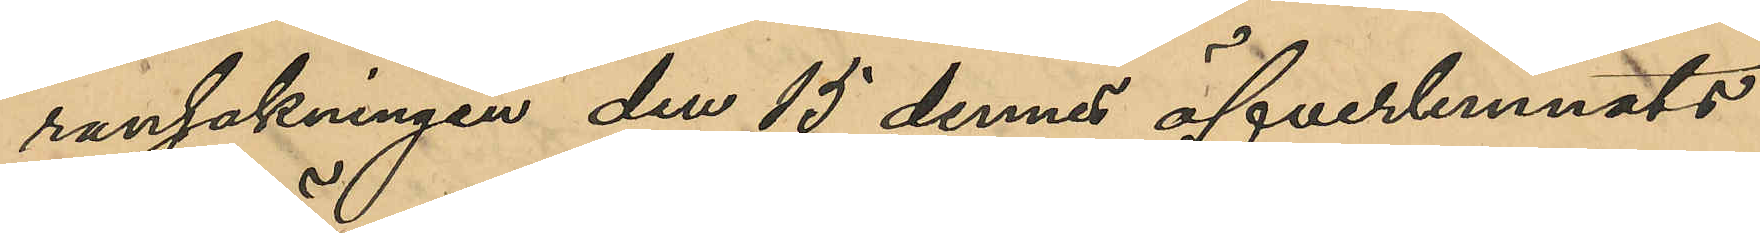ransakningen den 15 dennes öfverlemnats
